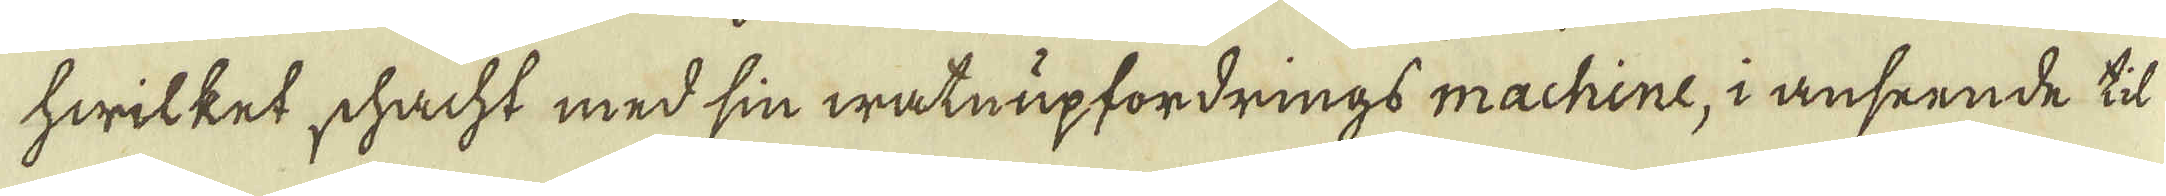hwilket schacht med sin watnupfordrings machine, i anseende til
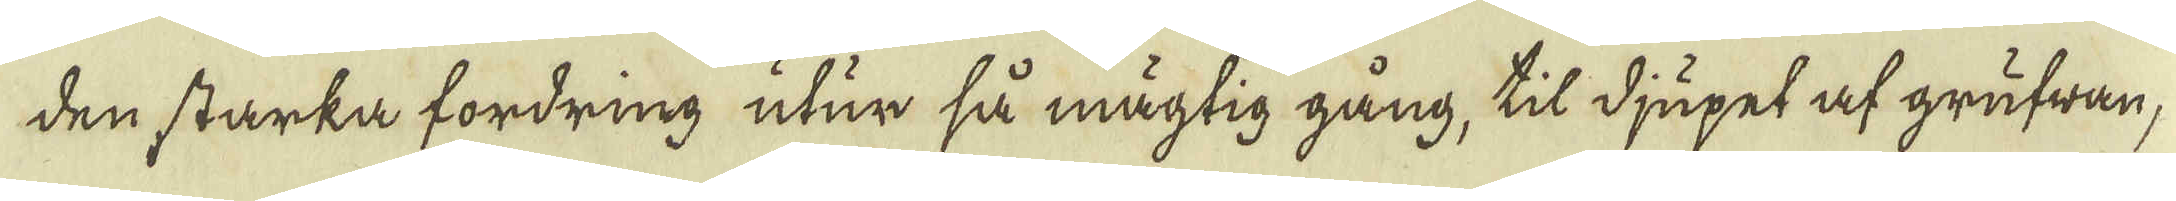den starka fordring utur så mägtig gång, til djupet af grufwan,
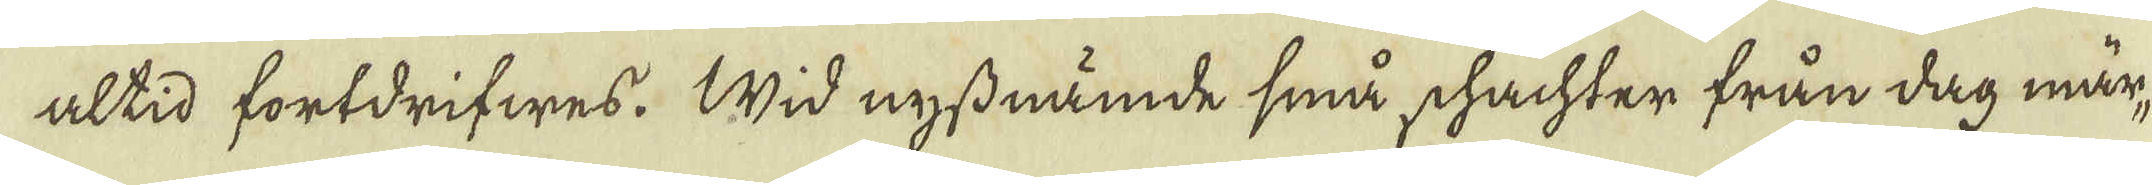altid fortdrifwes. Wid nyssnämde små schachter från dag mär-
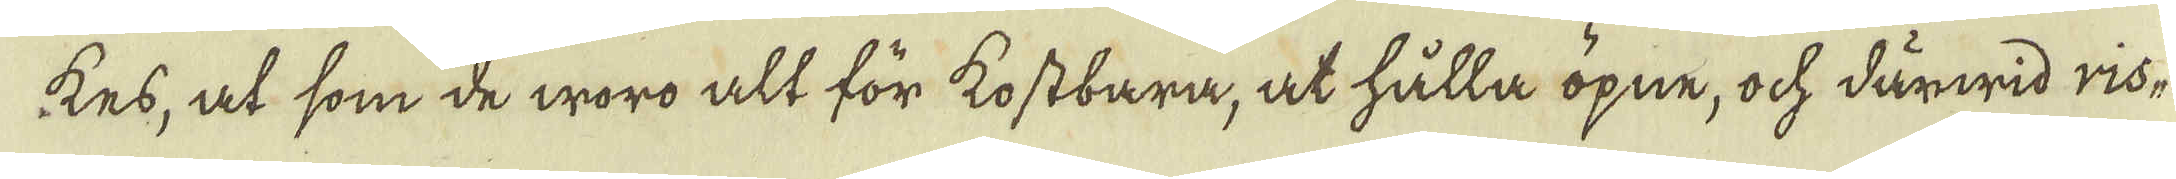kes, at som de woro alt för kostbara, at hålla öpne, ock därwid ris-
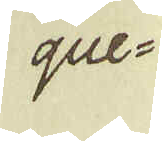que-
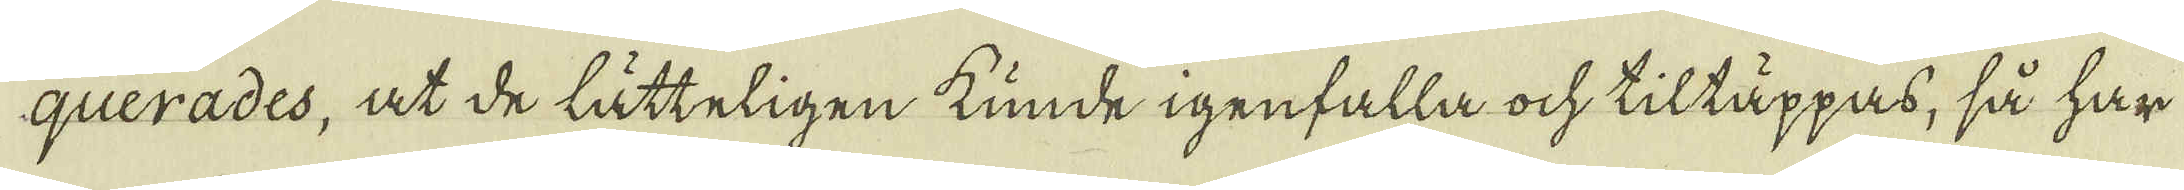querades, at de lätteligen kunde igenfalla ock tiltäppas, så har
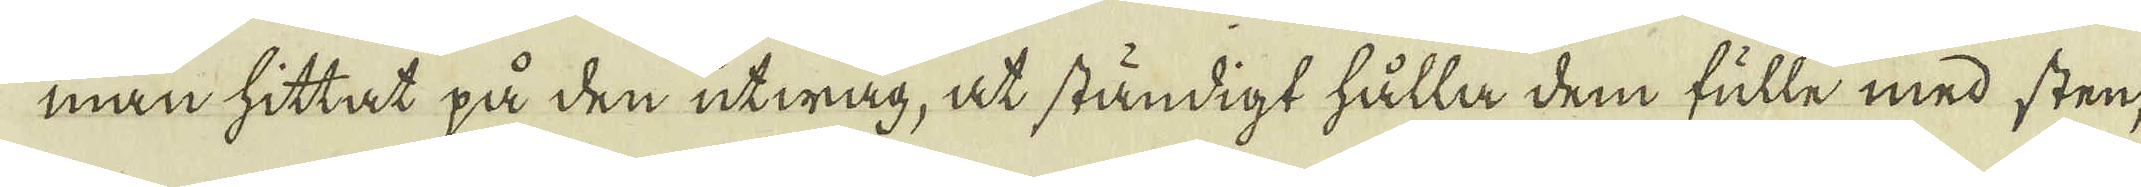man hittat på den utwåg, at ständigt hålla dem fulle med sten,
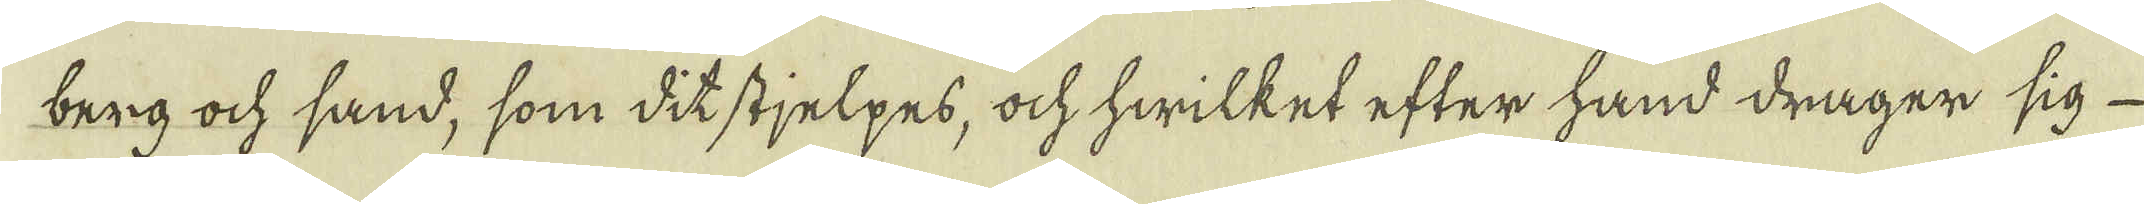berg ock sand, som dit stjelpes, ock hwilket efter hand drager sig
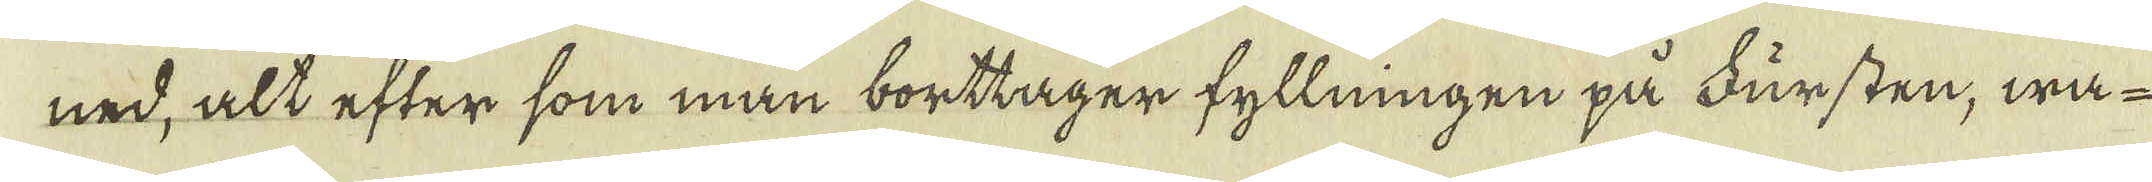ned, alt efter som man borttager fyllningen på Fursten, wa-
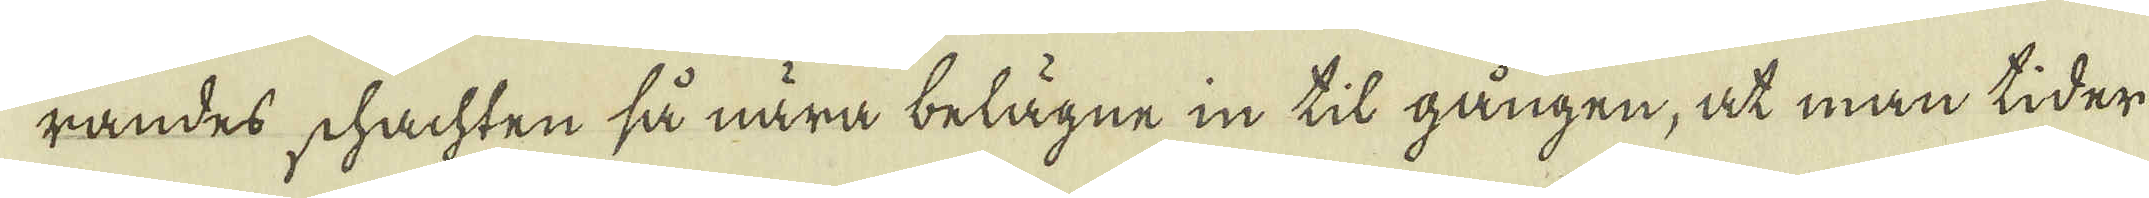randes schachten så nära belägne in til gången, at man tider
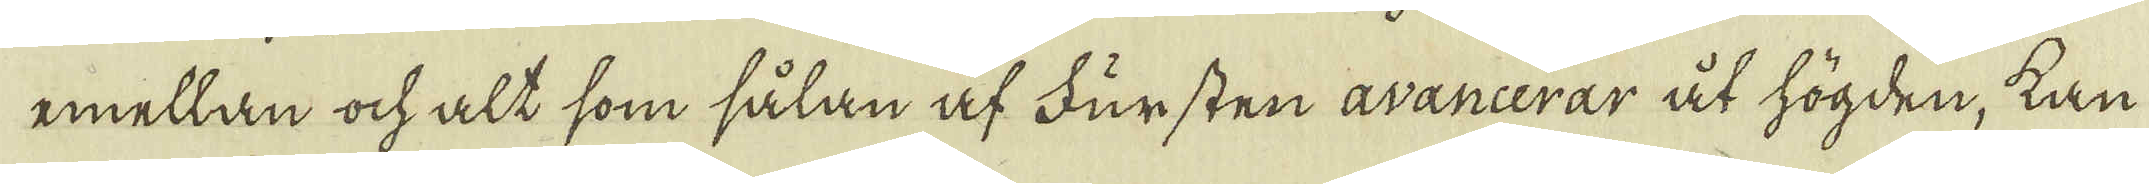emellan ock alt som sålan af Fursten avancerar åt högden, kan
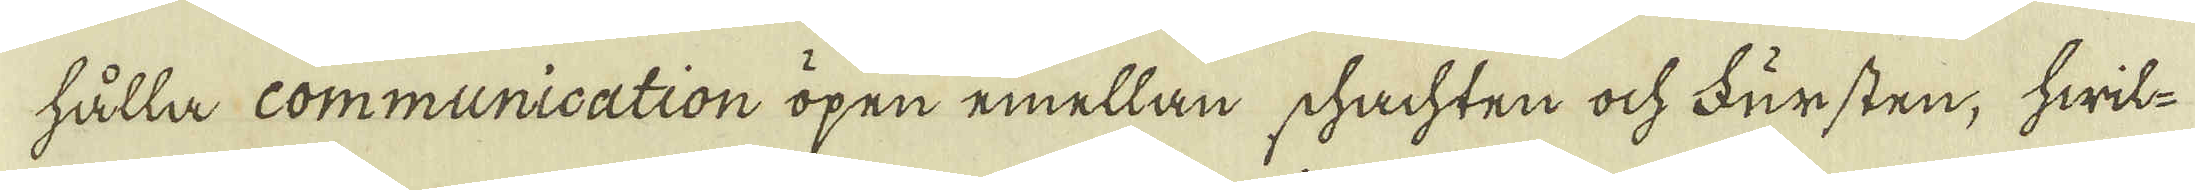hålla communication öpen emellan schachten ock Fursten, hwil-
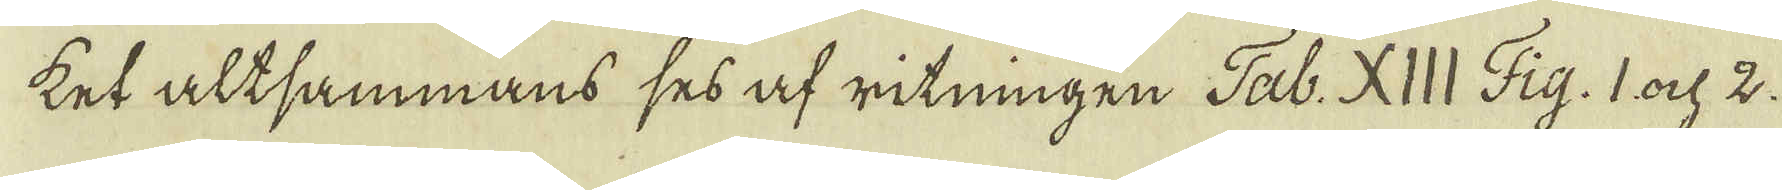ket altsammans ses af ritningen Tab: XIII Fig. 1 och 2.
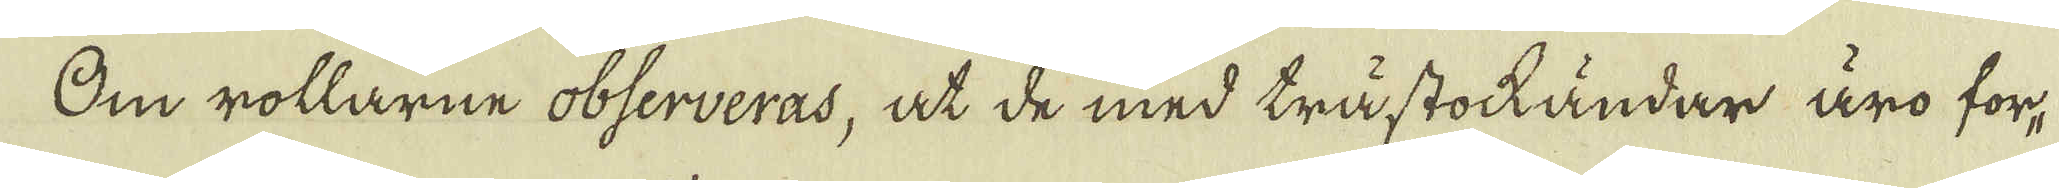Om rollarne observeras, at de med trästockändar äro for-
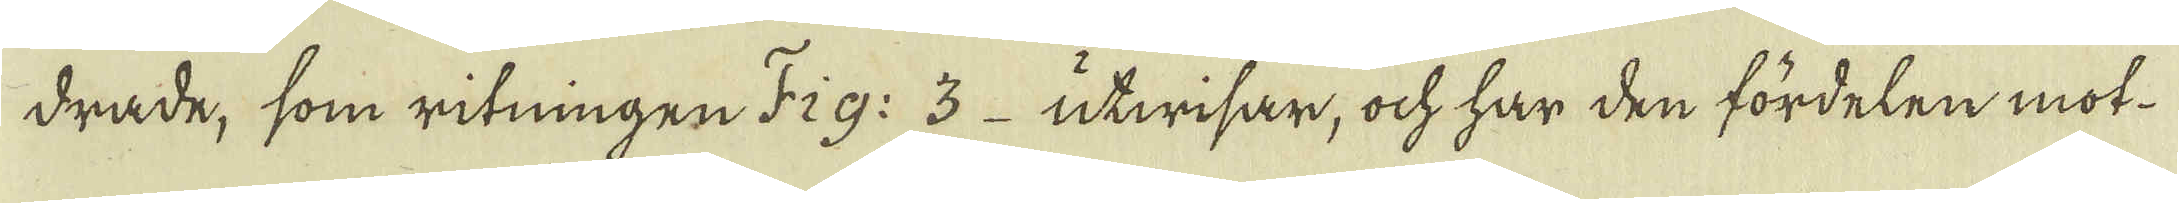drade, som ritningen Fig: 3 utwisar, ock har den fördelen mot-
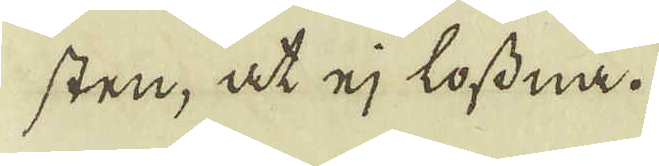sten, at ej lossna.
